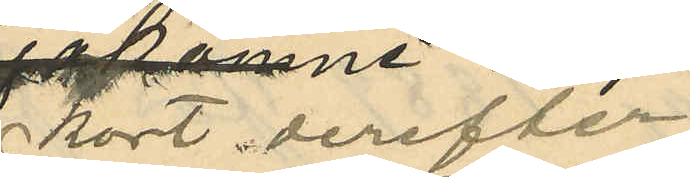kort derefter
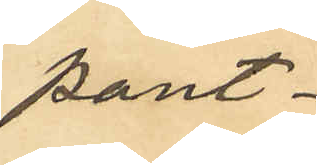pant¬
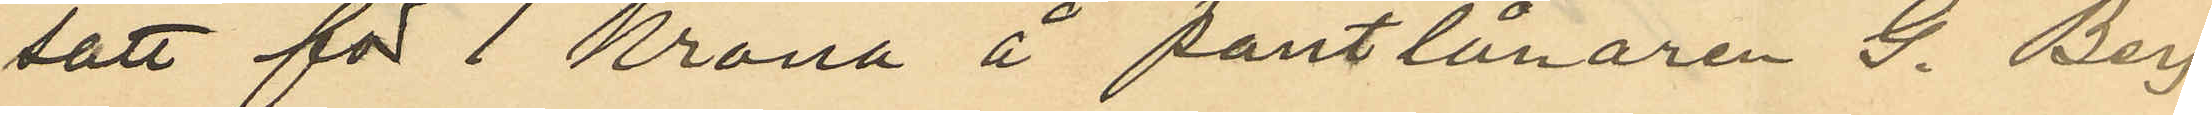satt för 1 Krona å pantlånaren G. Berg¬
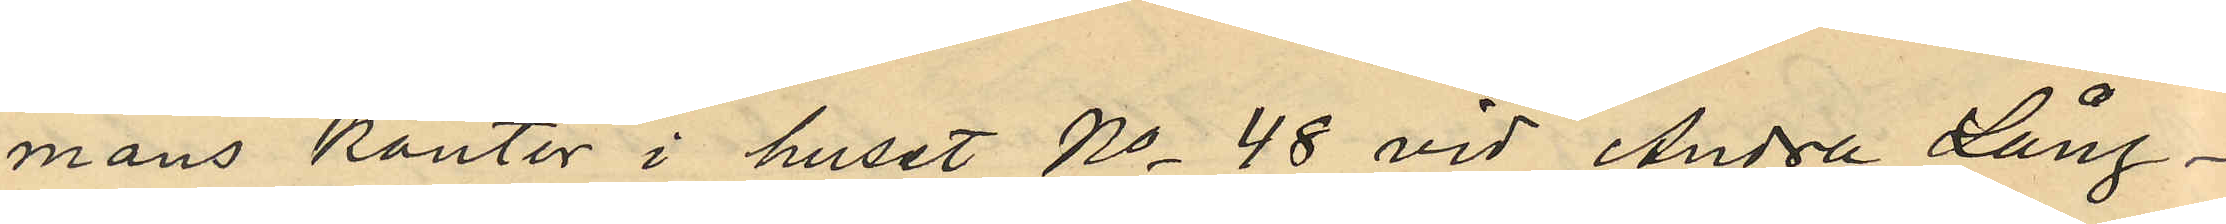mans kontor i huset No 48 vid Andra Lång¬
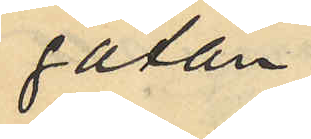gatan;
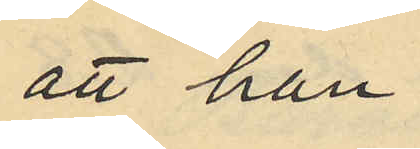att han
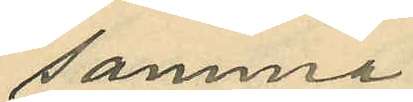samma
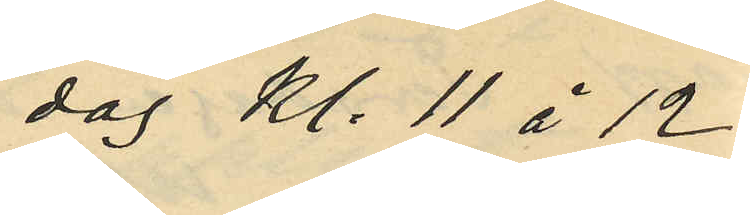dag kl. 11 à 12
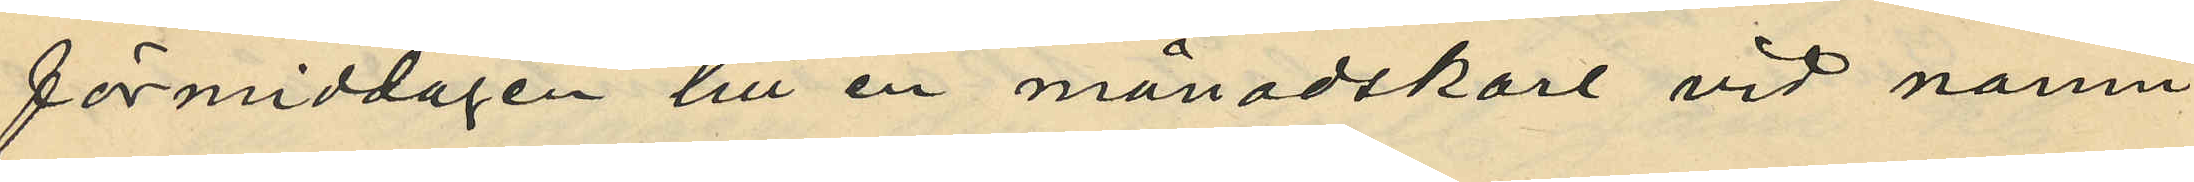förmiddagen till en månadskarl vid namn
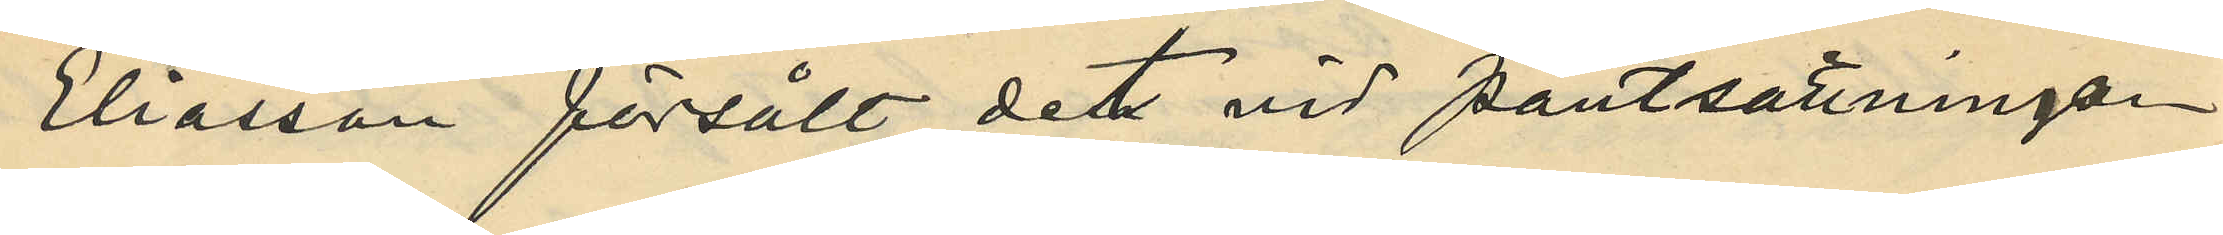Eliasson försålt det vid pantsättningen
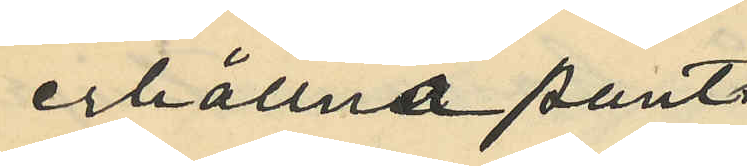erhållna pant¬
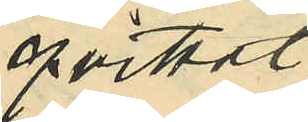qvittot
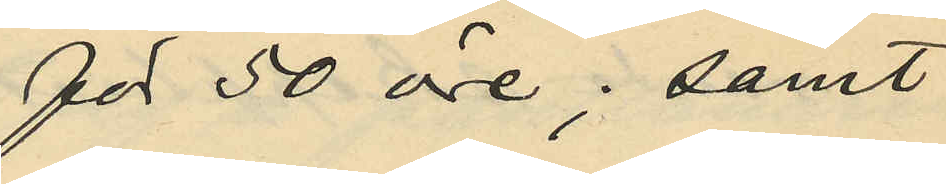för 50 öre; samt
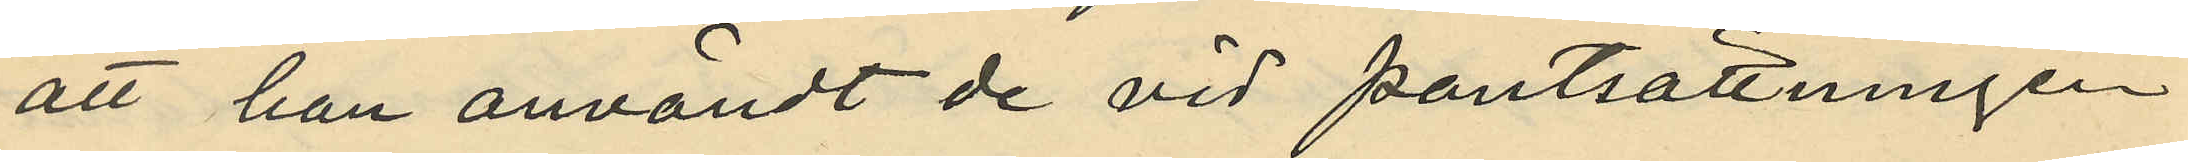att han användt de vid pantsättningen
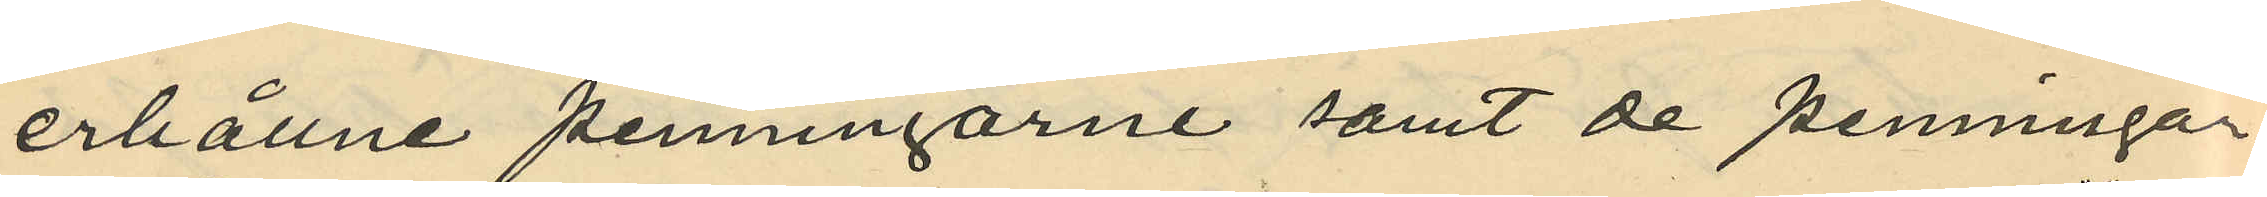erhållne penningarne samt de penningar
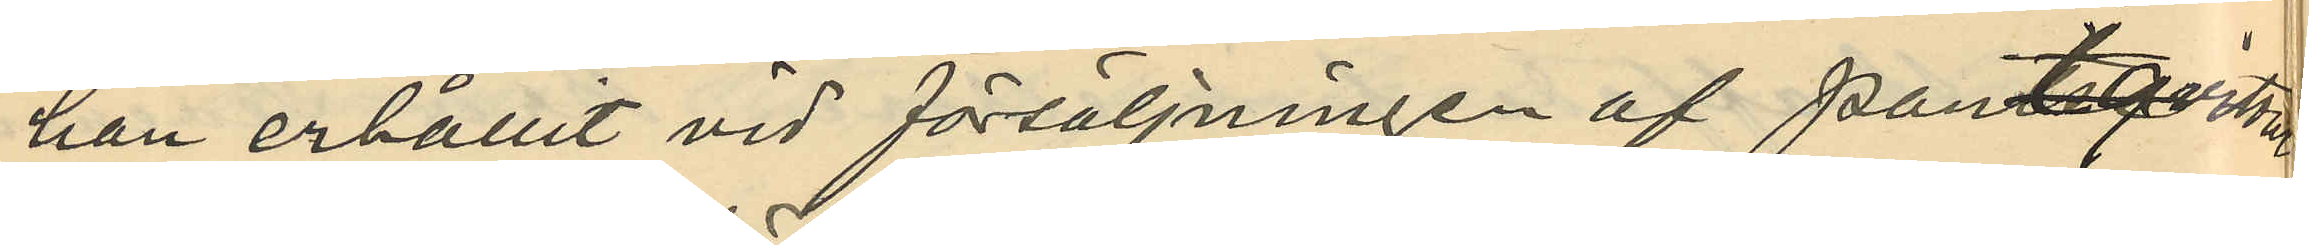han erhållit vid försäljningen af Pantqvittot
